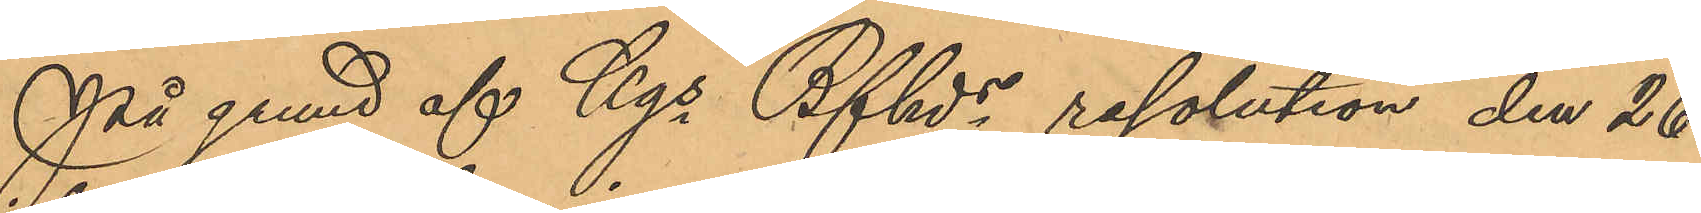På grund af Kgs Bfhds resolution den 26
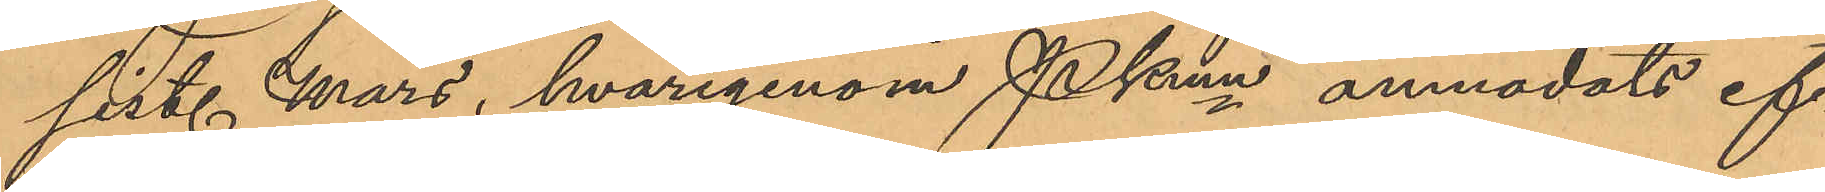sist. Mars, hvarigenom Pkmn anmodats ef¬
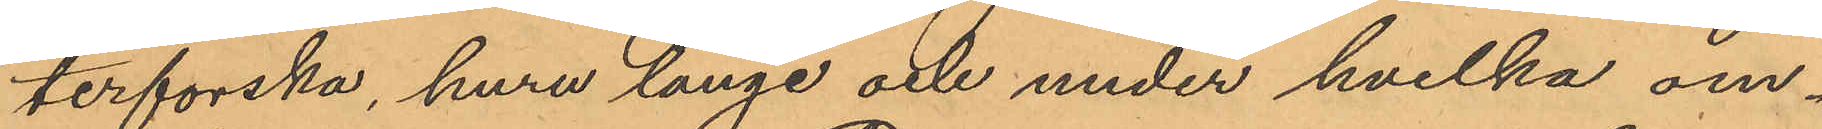terforska, huru länge och under hvilka om¬
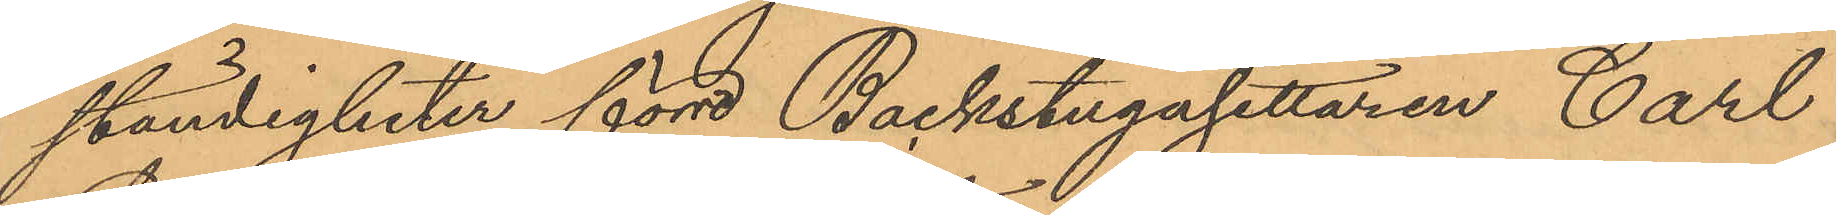ständigheter förre Backstugusittaren Carl
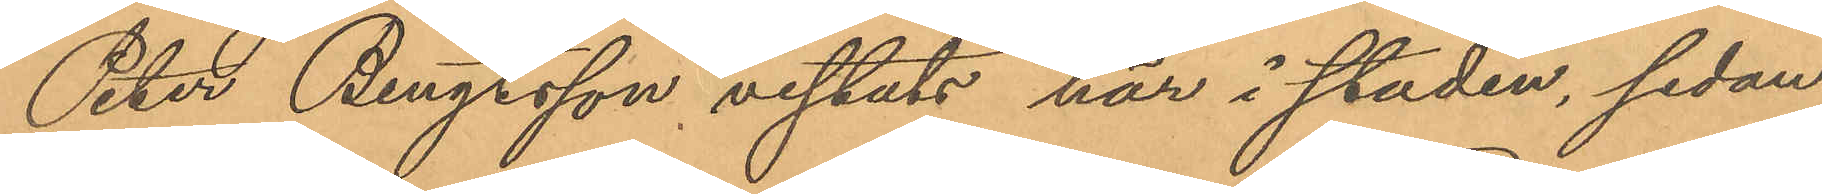Peter Bengrsson vistats här i staden, sedan
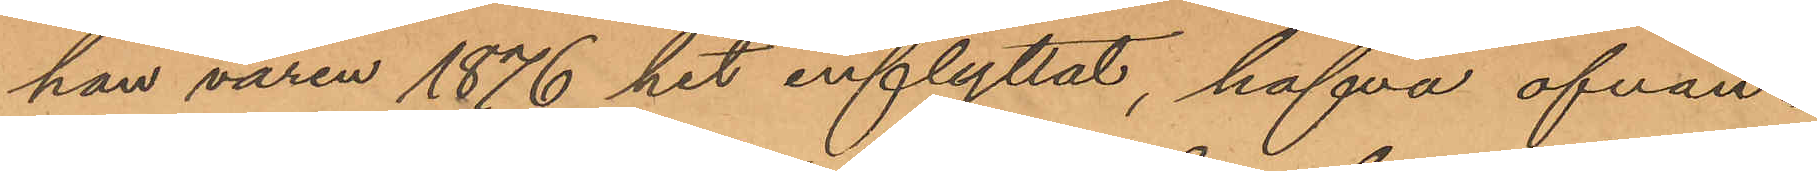han våren 1876 hit inflyttat, hafva ofvan¬
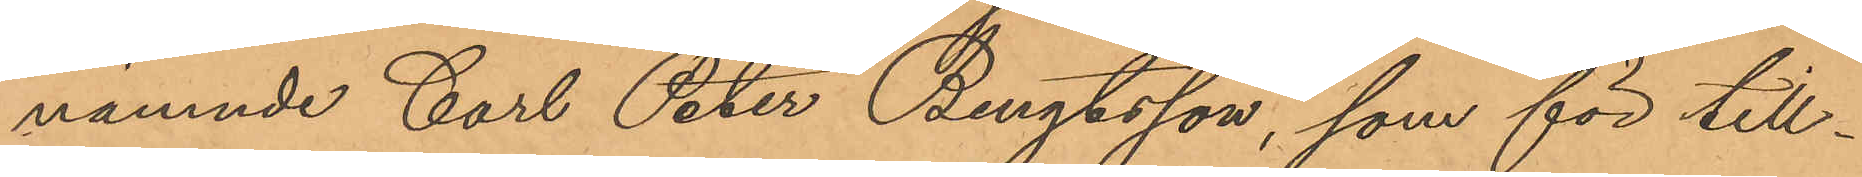nämnde Carl Peter Bengtsson, som för till¬
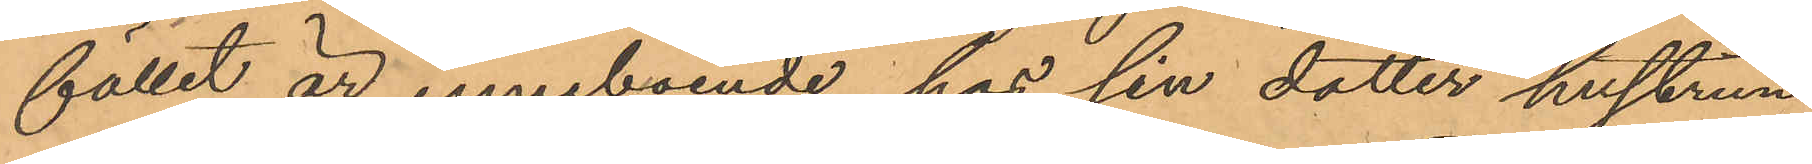fället är inneboende hos sin dotter hustrun
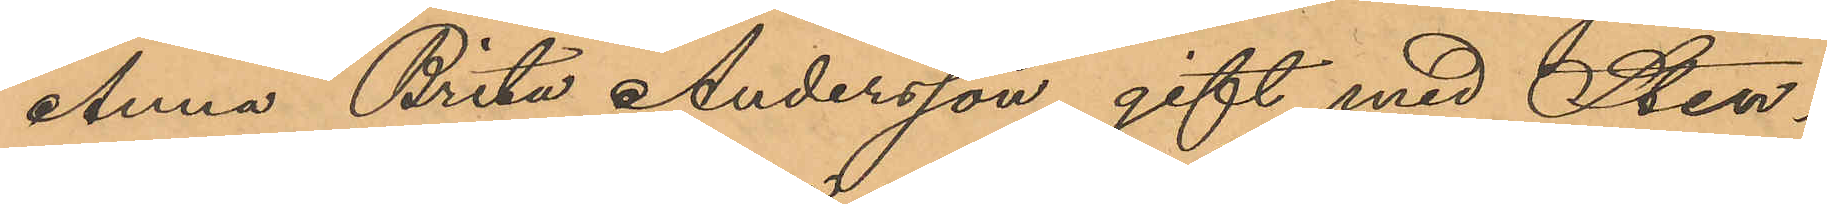Anna Brita Andersson, gift med Sten¬
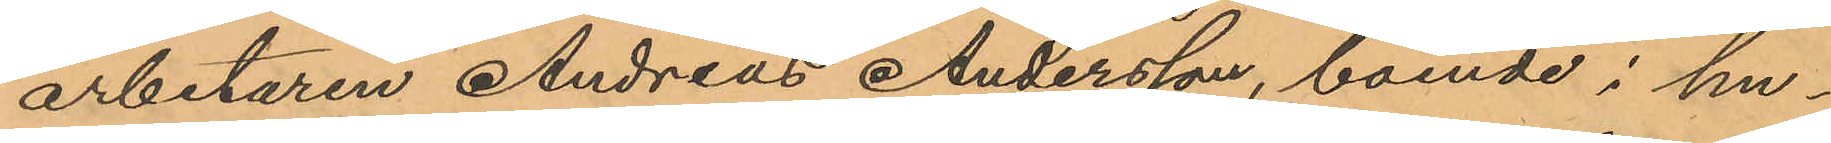arbetaren Andreas Andersson, boende i hu¬
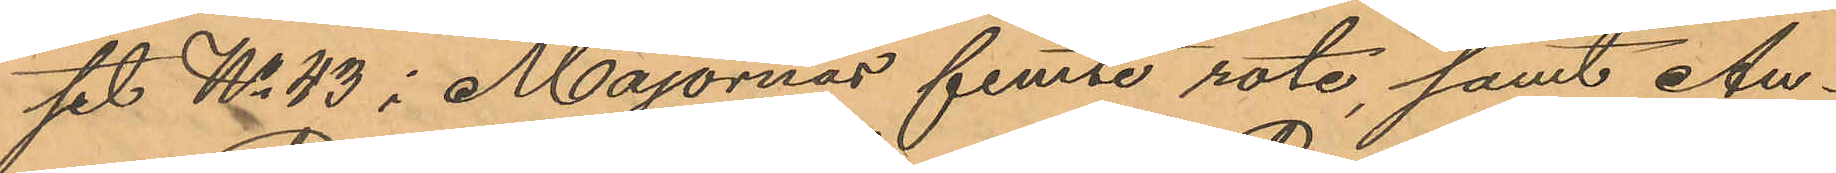set No 43 i Majornas femte rote, samt An¬
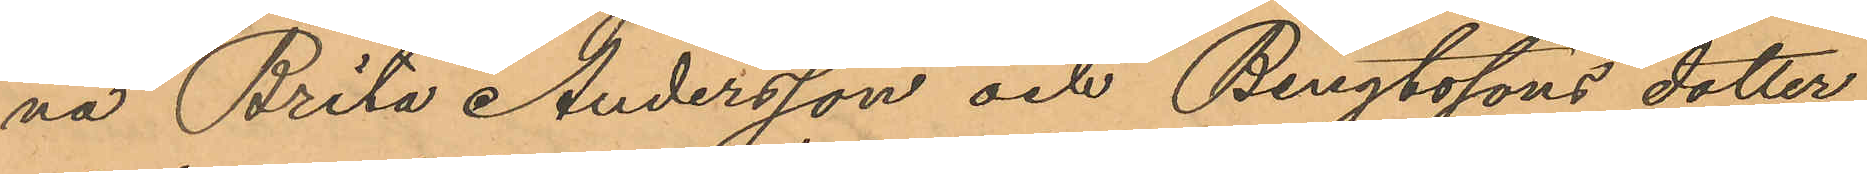na Brita Andersson och Bengtssons dotter,
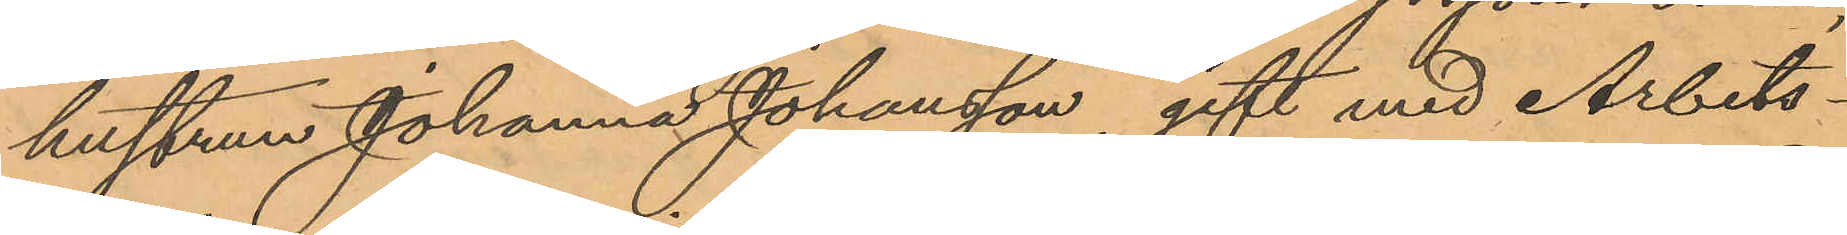hustrun Johanna Johansson, gift med Arbets¬
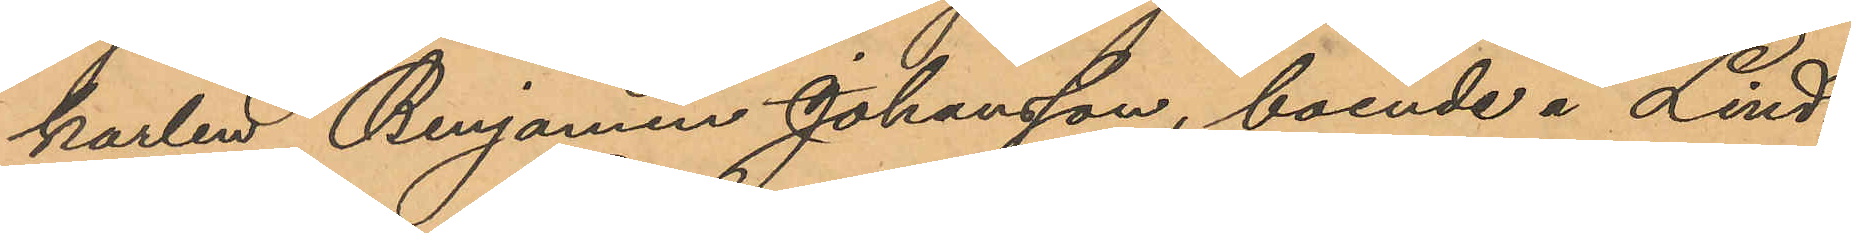karlen Benjamin Johansson, boende å Lind¬
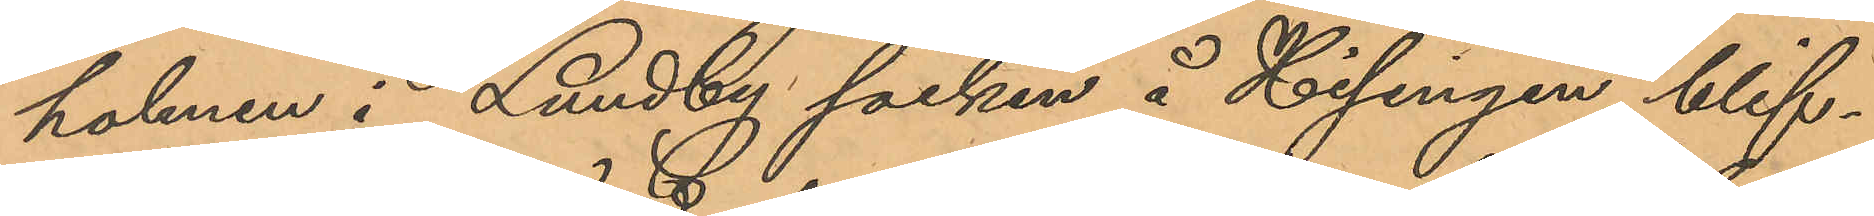holmen i Lundby socken å Hisingen, blif¬
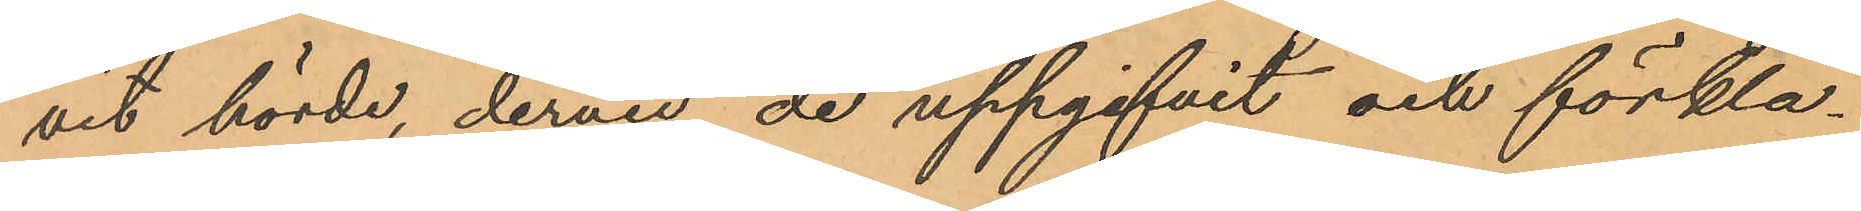vit hörde, dervid de uppgifvit och förkla¬
